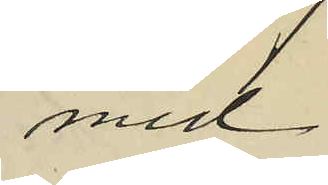med
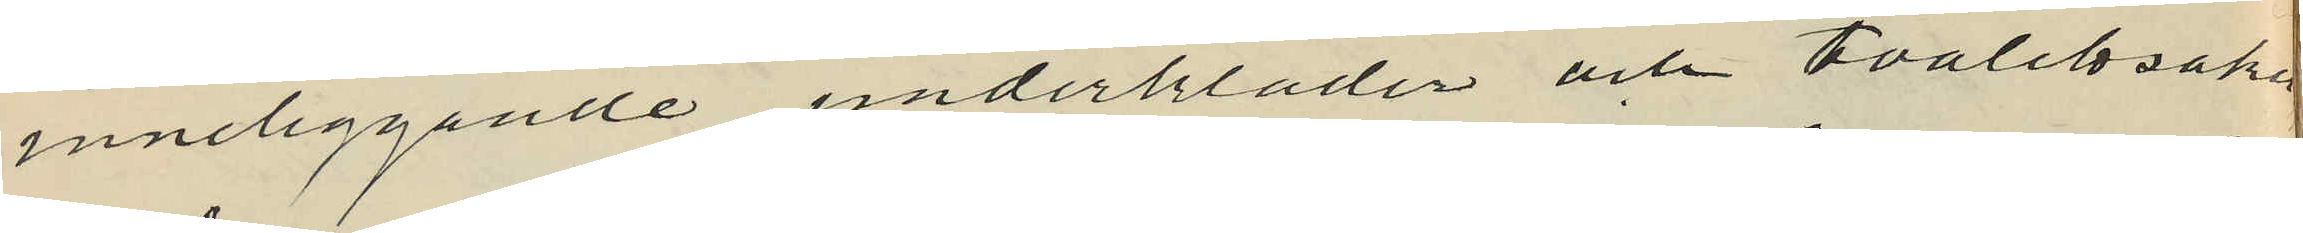inneliggande underkläder och toalettsaker
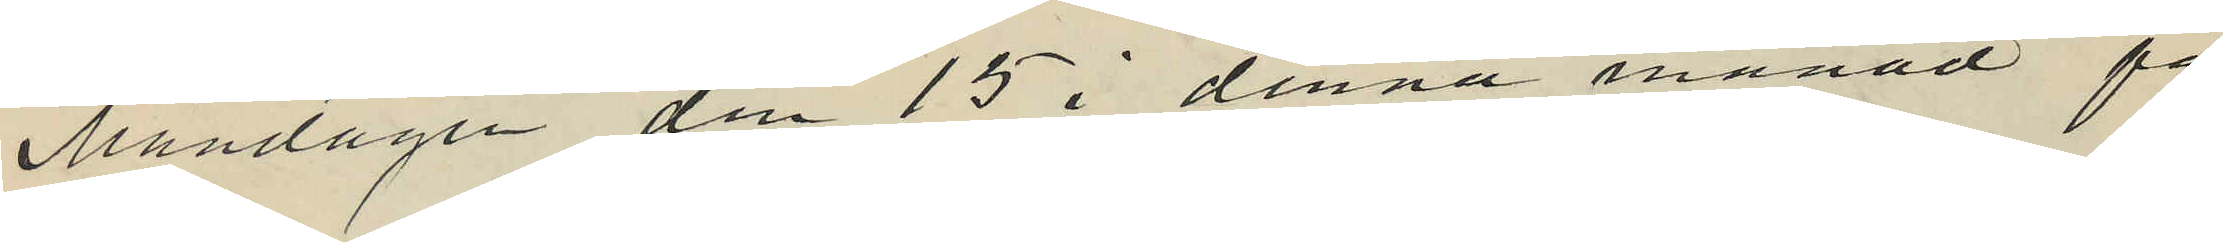Måndagen den 15 i denna månad på
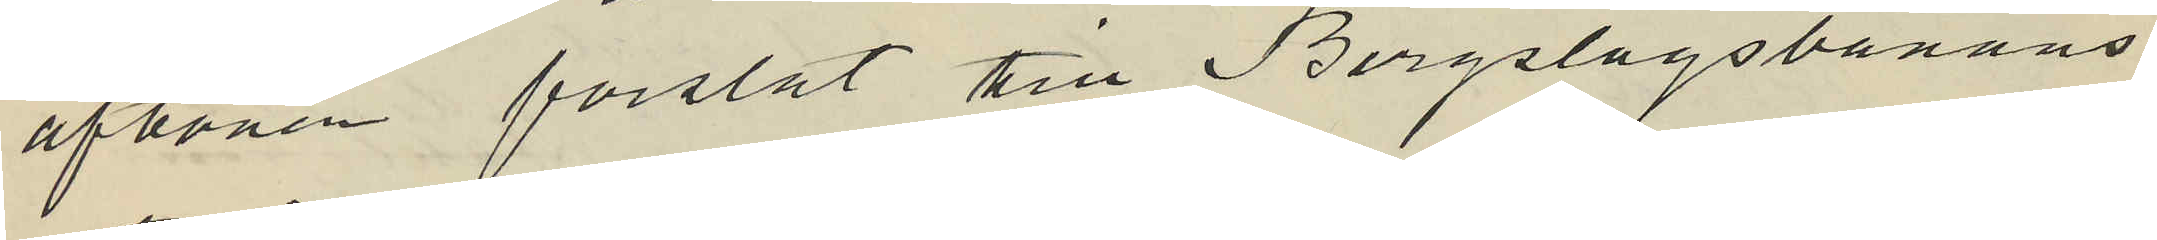aftonen forslat till Bergslagsbanans
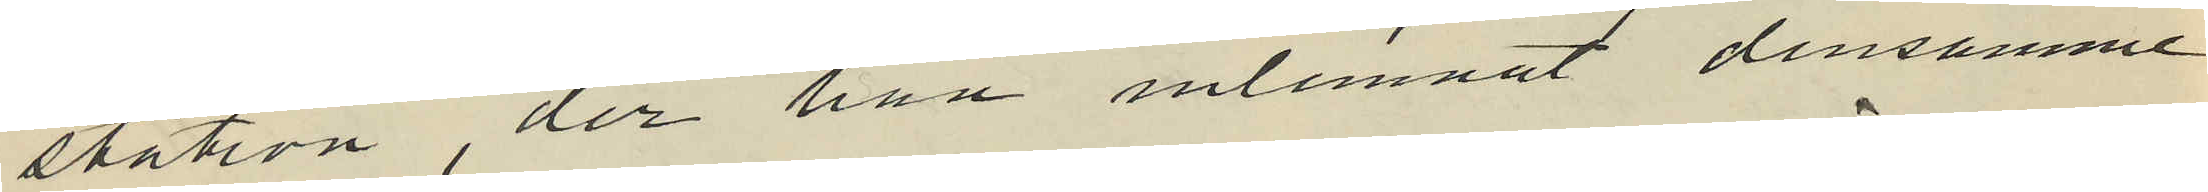station, der han inlemnat densamme
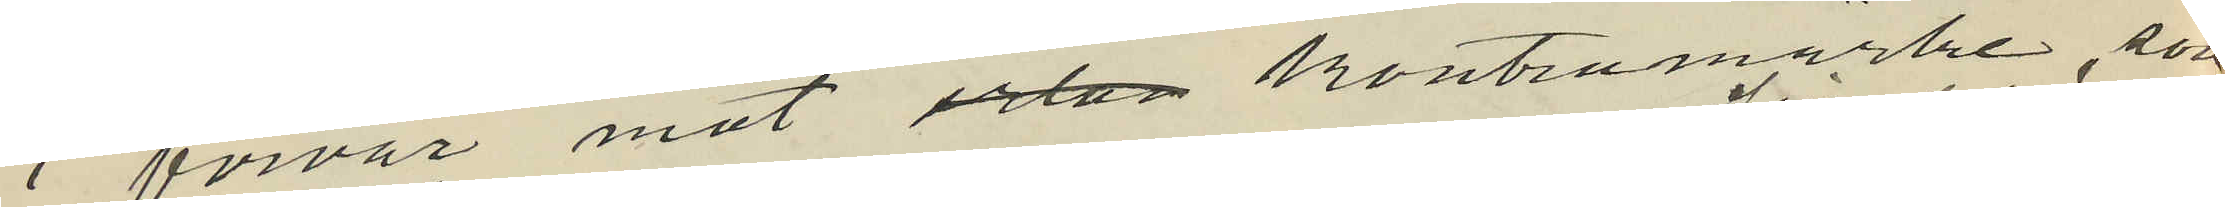i förvar mot irlan kontramärke, som
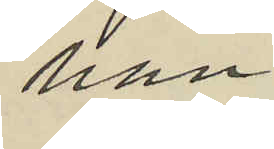han
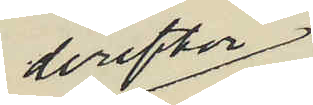derefter
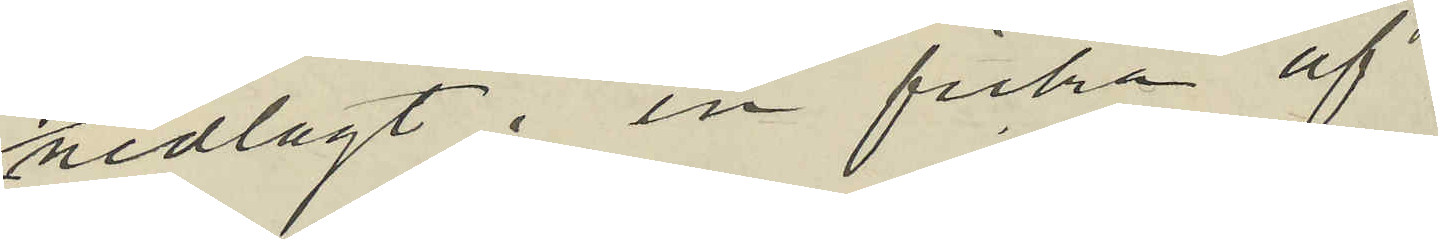nedlagt i en ficka af
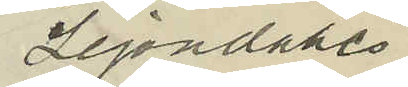Lejondahls
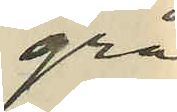grå
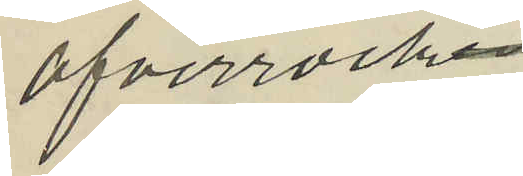öfverrocken.
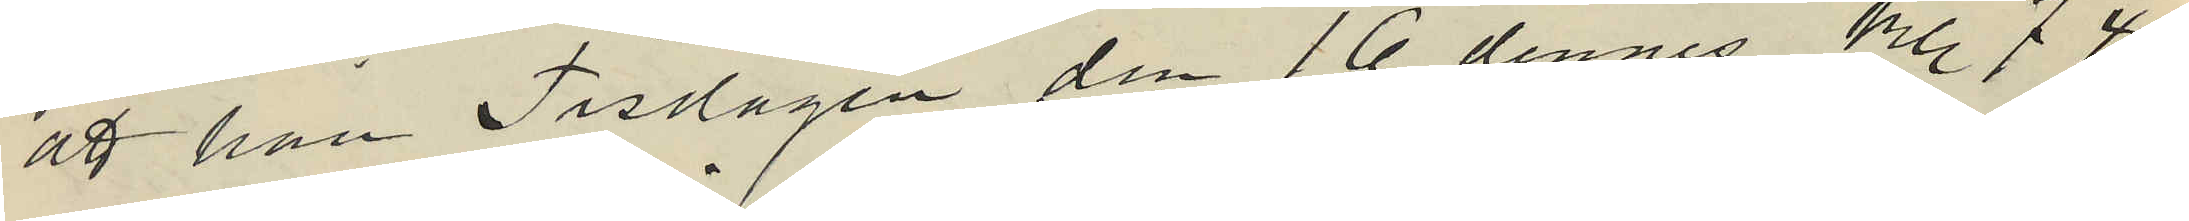att han Tisdagen den 16 dennes kl. 7 45
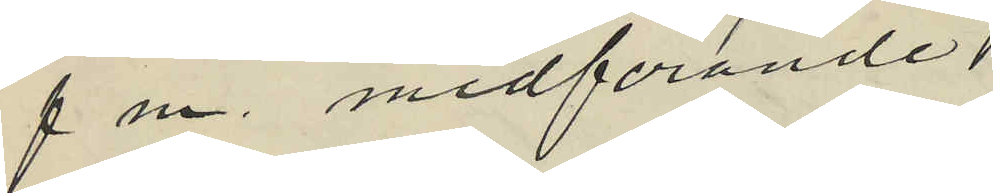f m. medförande
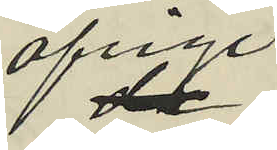öfrige
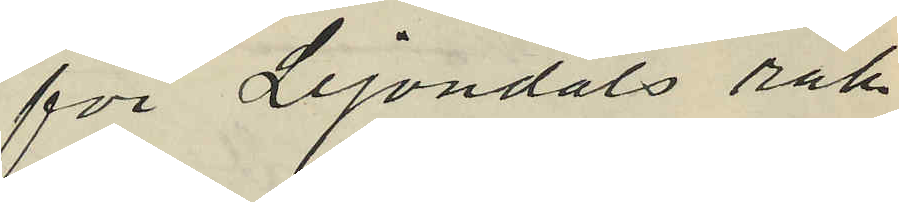för Lejondals räk¬
